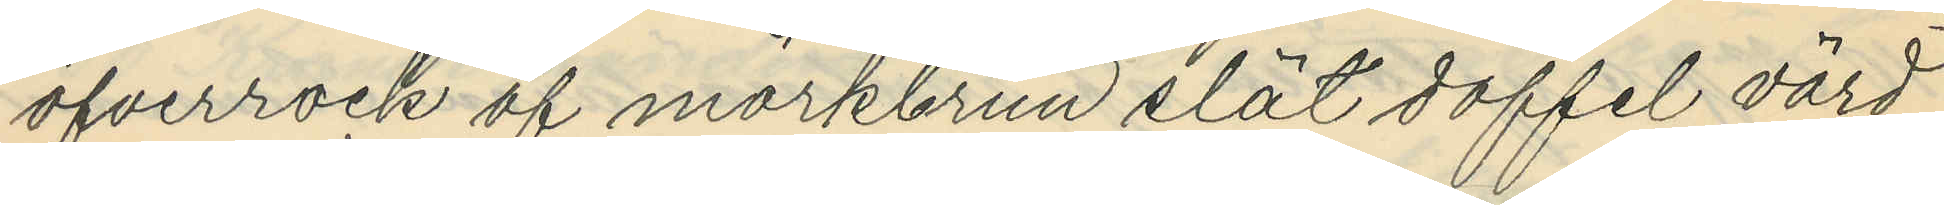öfverrock af mörkbrun slät doffel värd
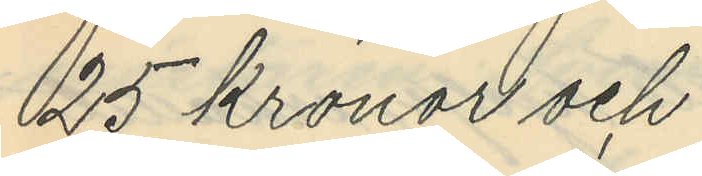25 kronor och
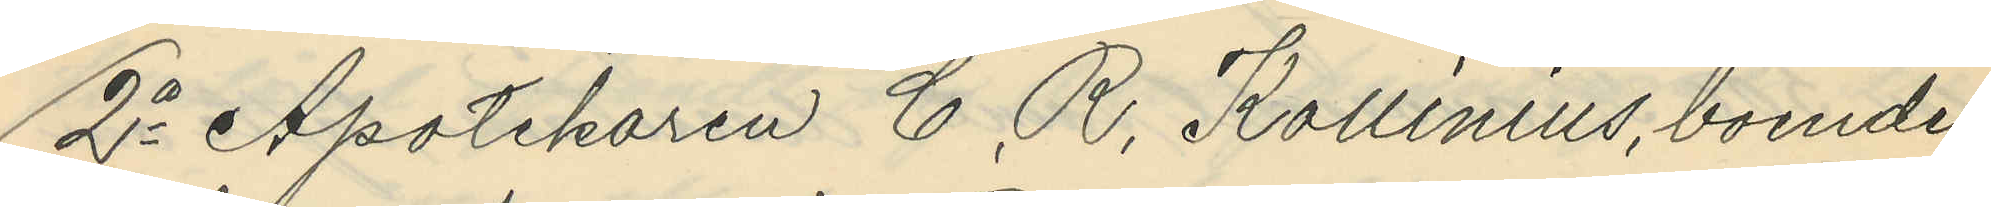2o Apotekaren C. R. Kollinius, boende
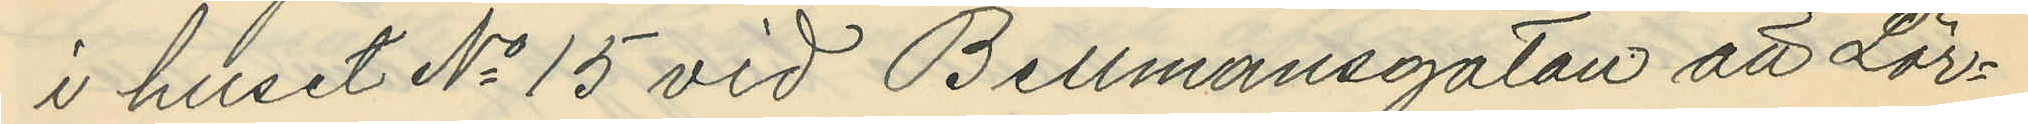i huset No 15 vid Bellmansgatan att Lör¬
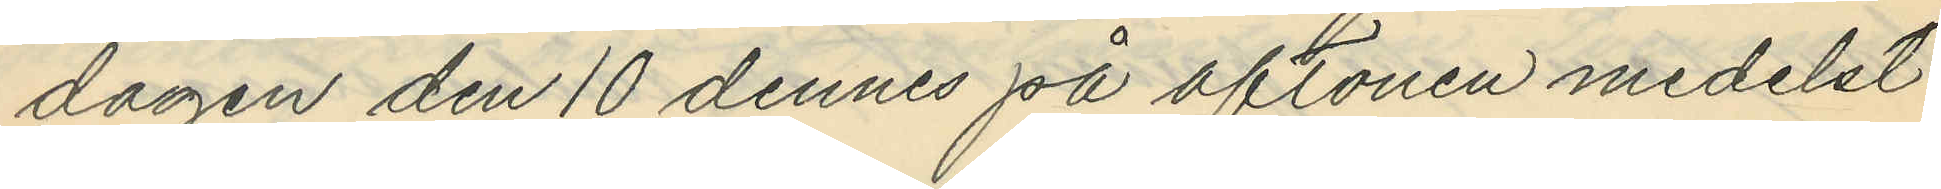dagen den 10 dennes på aftonen medelst
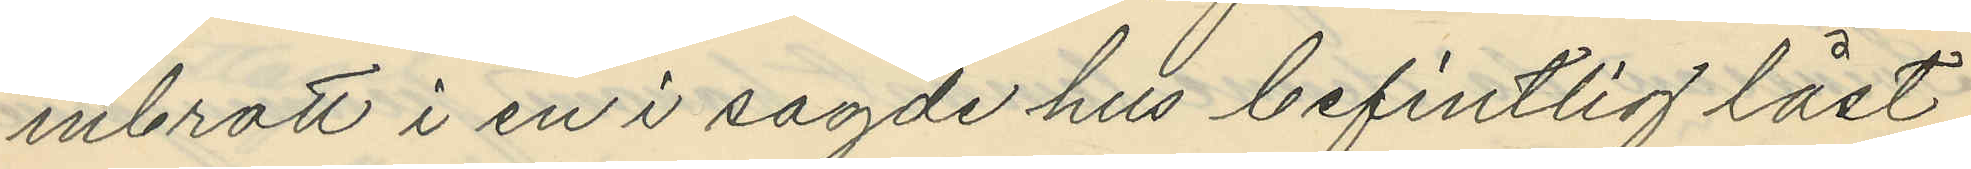inbrott i en i sagde hus befintlig låst
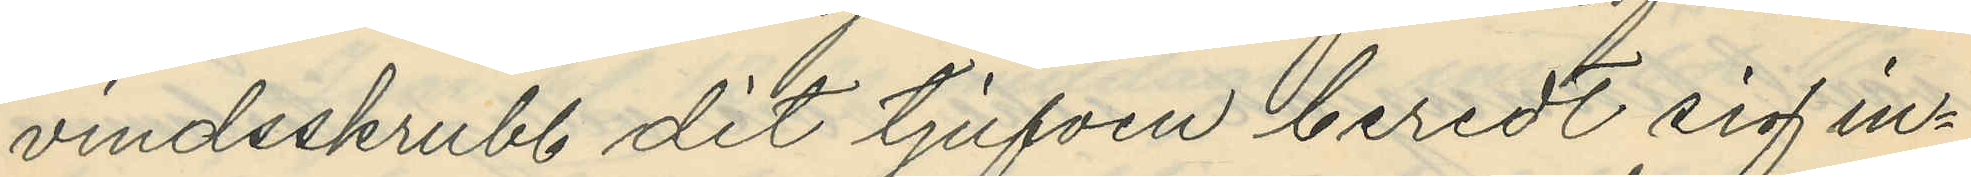vindsskrubb dit tjufven beredt sig in¬
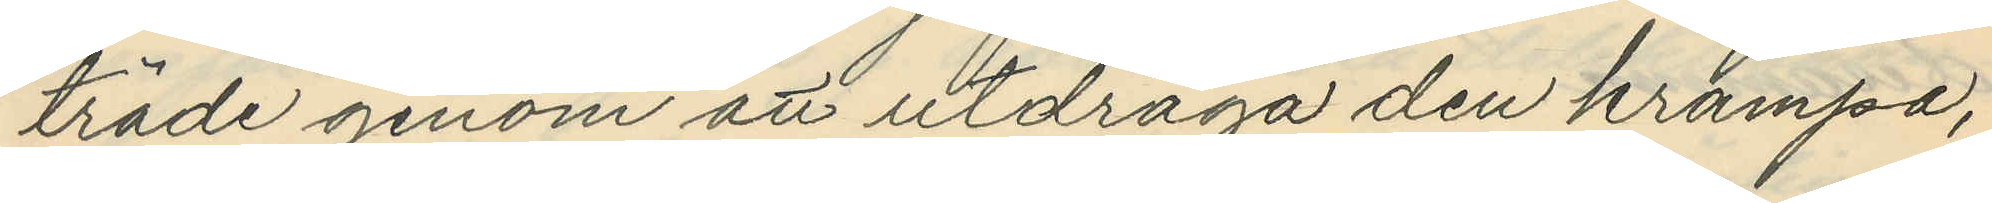träde genom att utdraga den krampa,
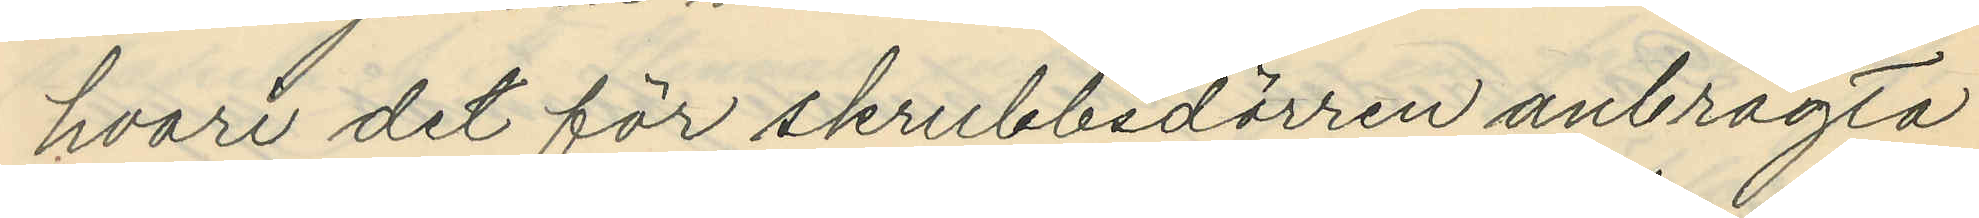hvari det för skrubbsdörren anbragta
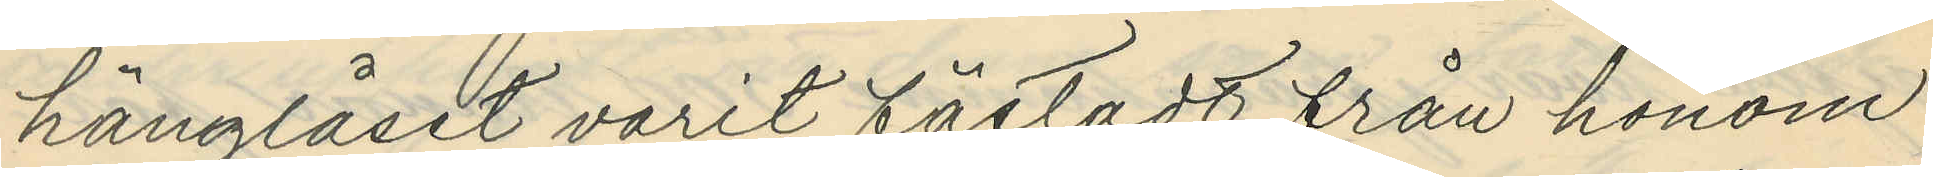hänglåset varit fästadt från honom
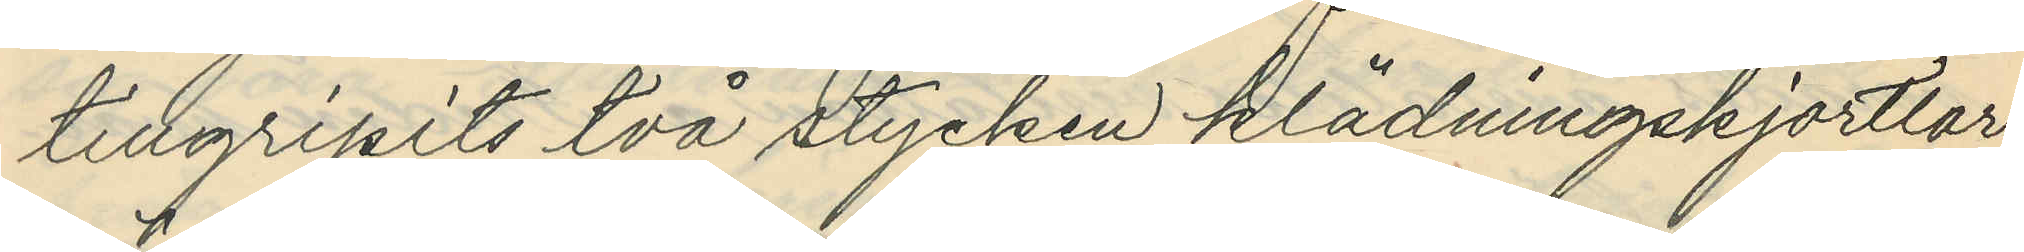tillgripits två stycken klädningskjortlar
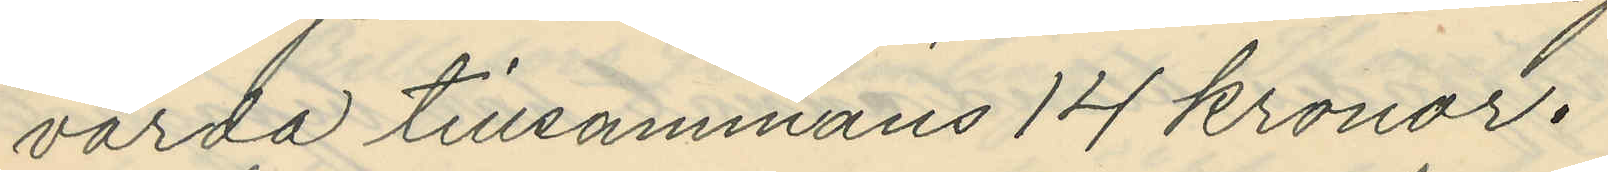värda tillsammans 14 kronor.
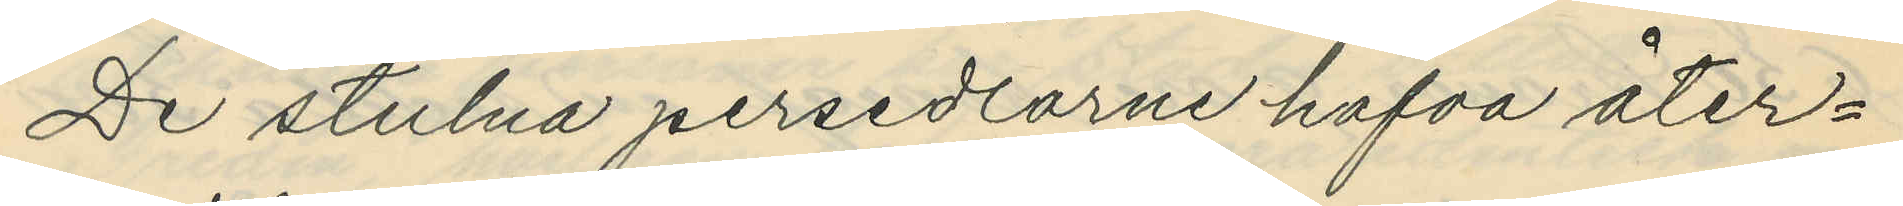De stulna persedlarne hafva åter¬
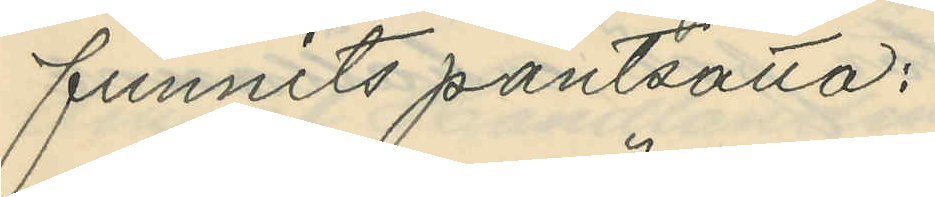funnits pantsatta:
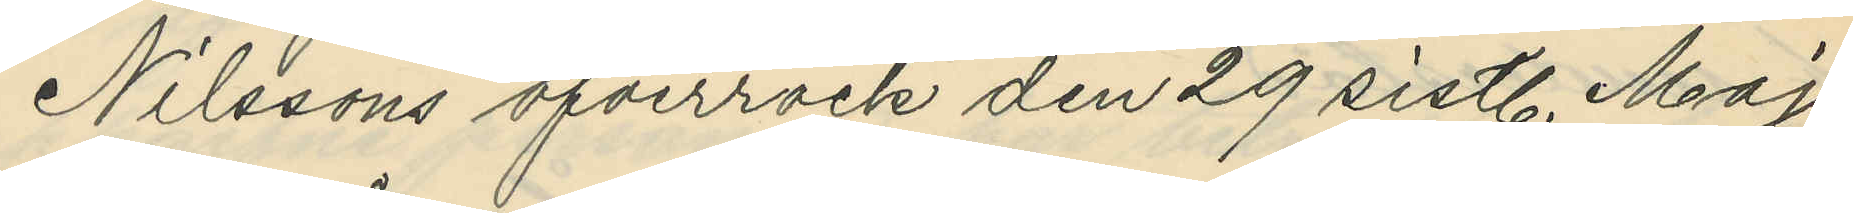Nilssons öfverrock den 29 sistl. Maj
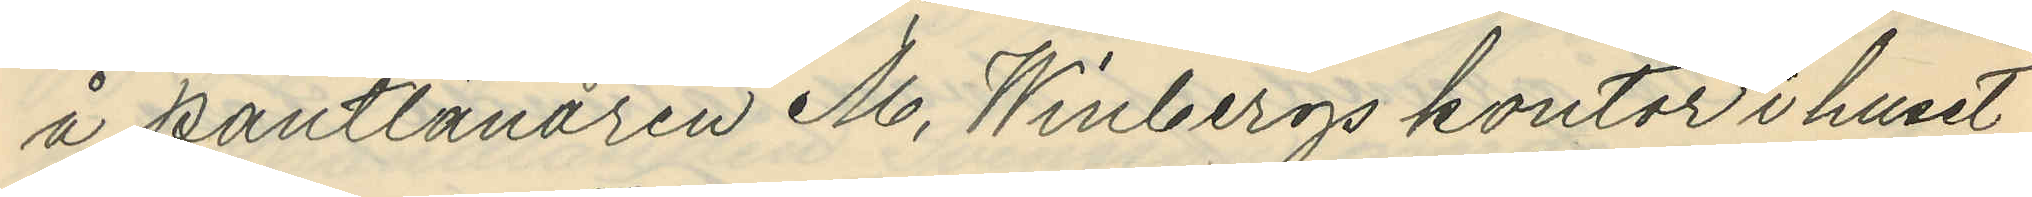å pantlånaren M. Winbergs kontor i huset
